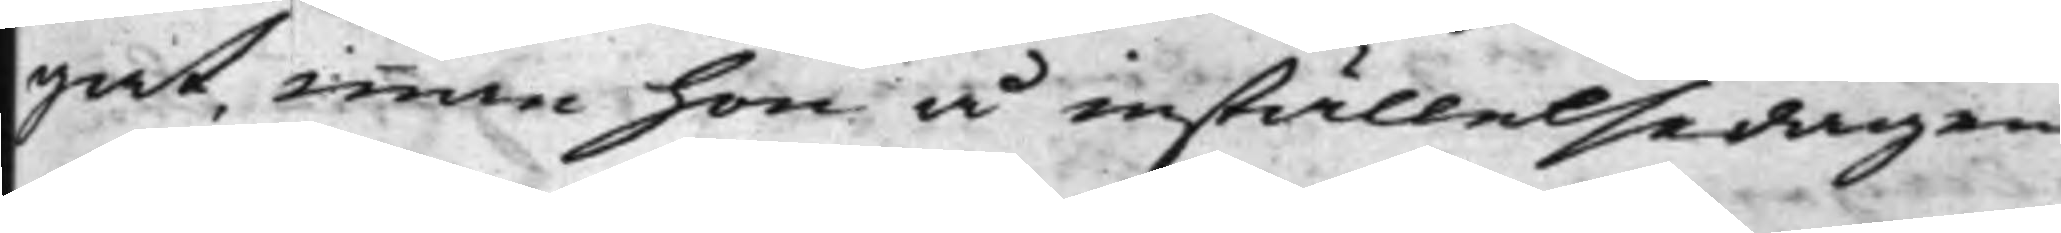gat, innan hon å inställelsedagen
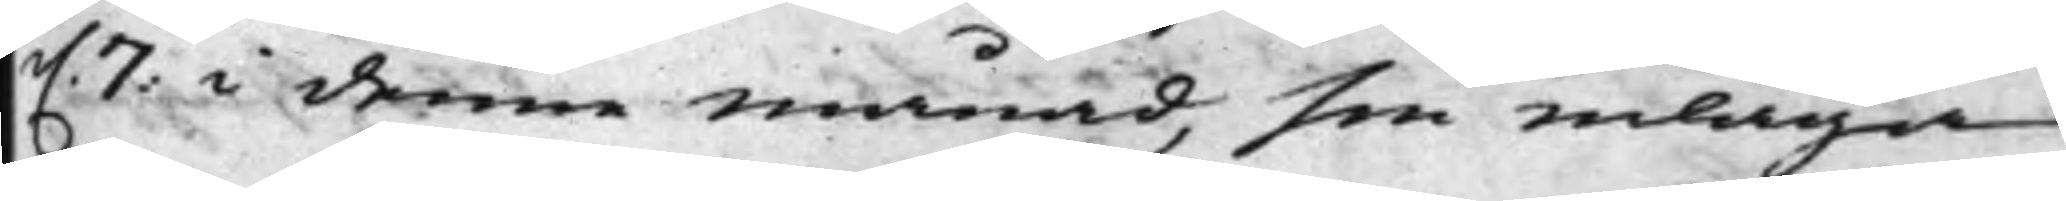d. 7: i denne månad, sin inlaga
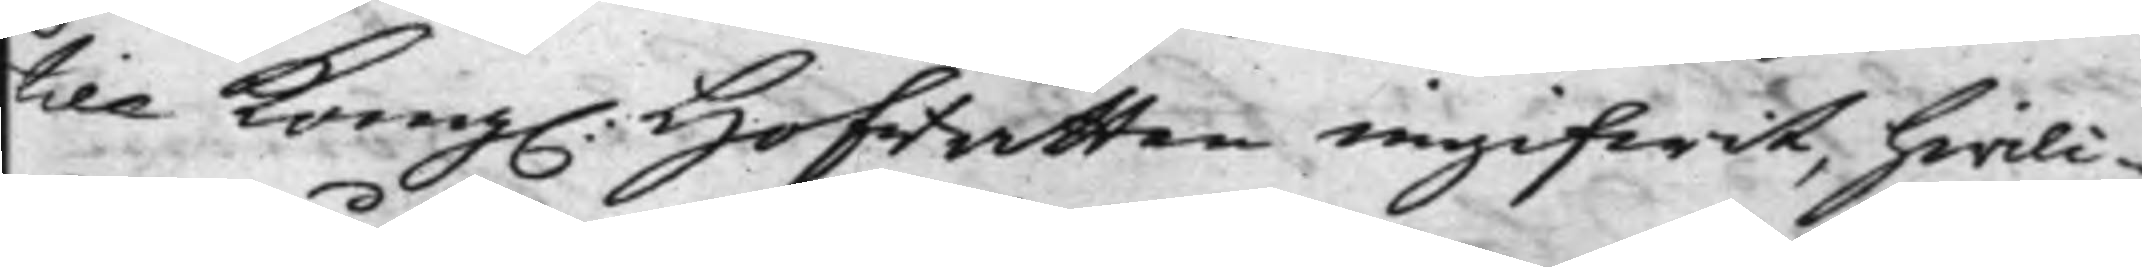till Kong. Hofrätten ingifwit, hwilc¬
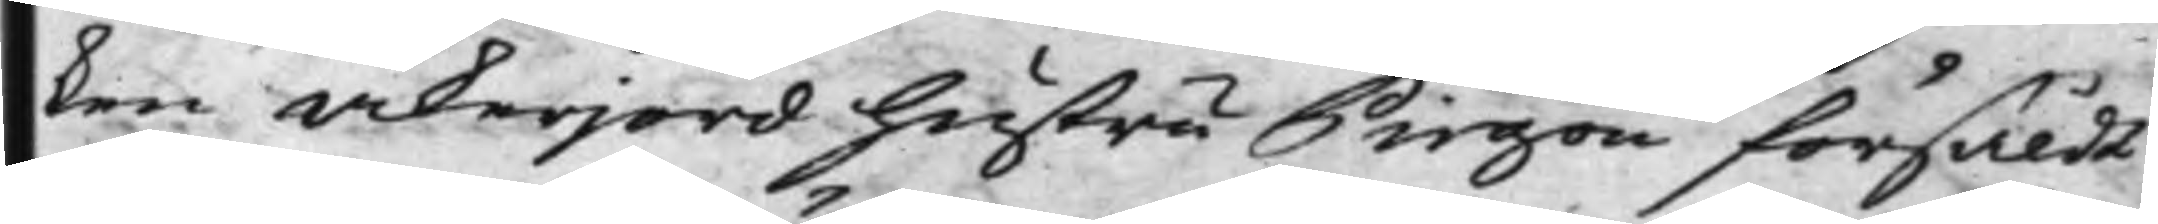ken åkerjord hustru Pirgon försåldt
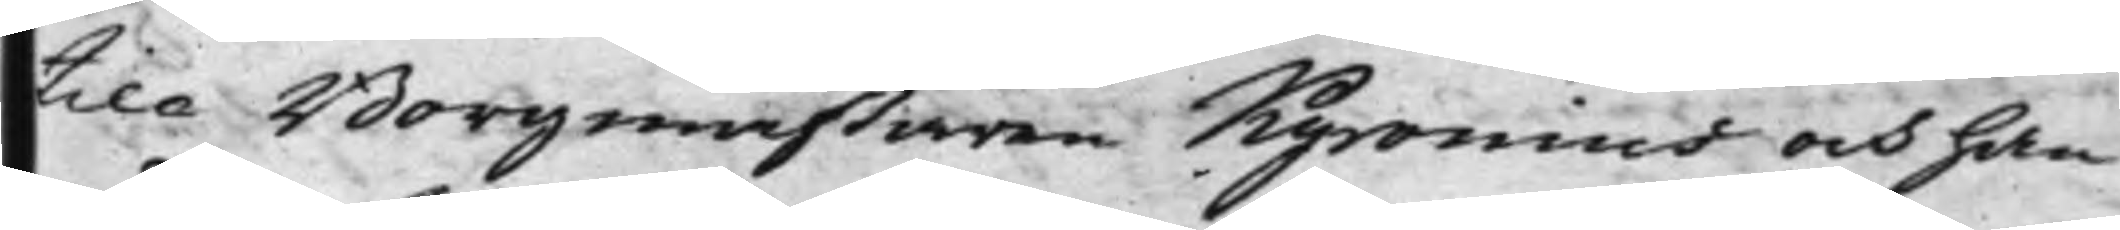till Borgmästaren Kyronius och han
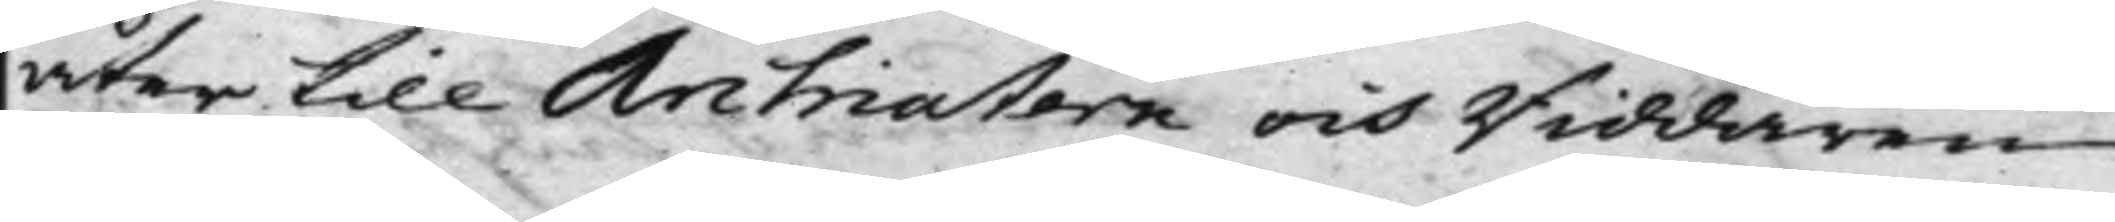åter till Archiatern och Riddaren
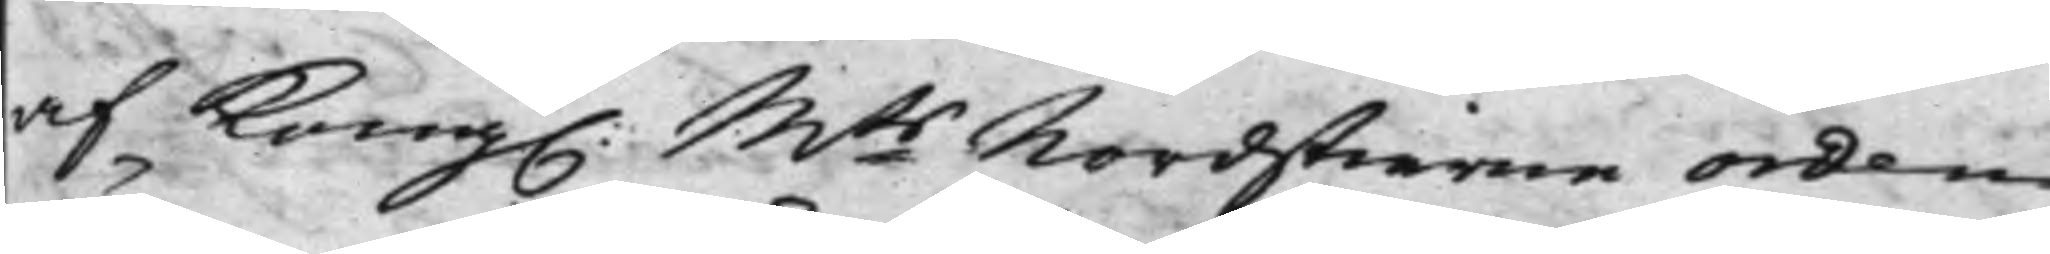af Kong. Mts Nordstierne Orden
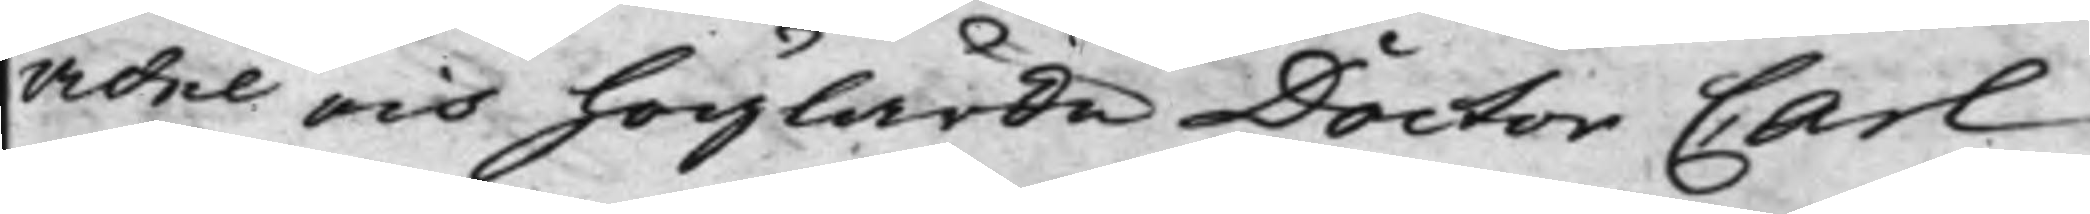Ädel och höglärde Doctor Carl
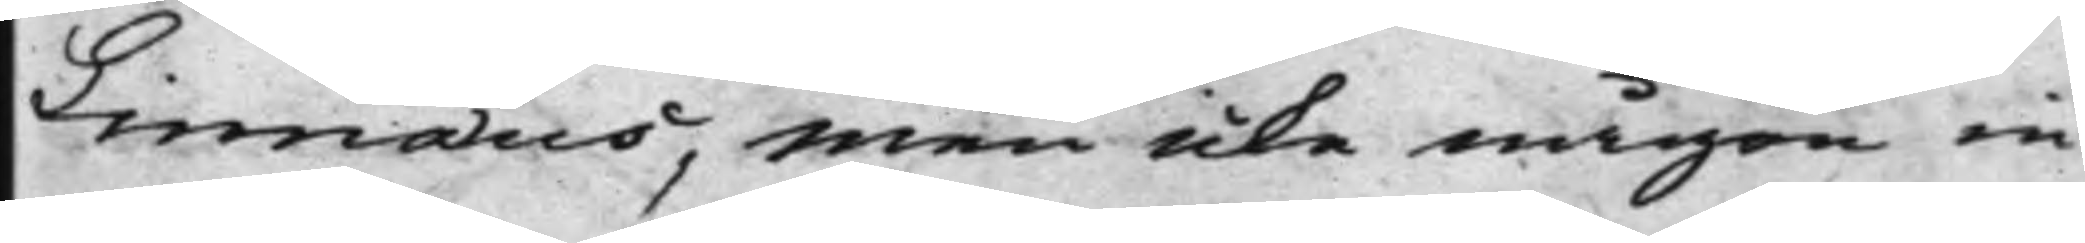Linnæus, men icke någon in
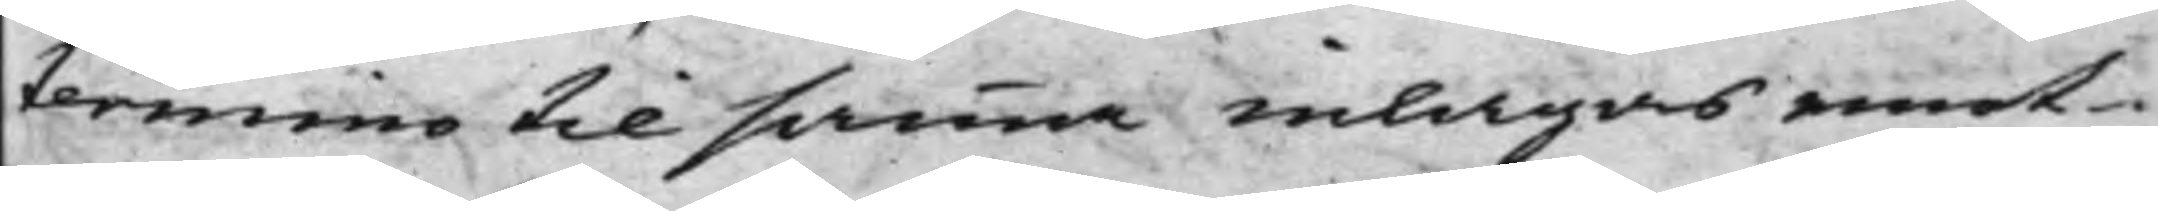termino til samma inlagas emot¬
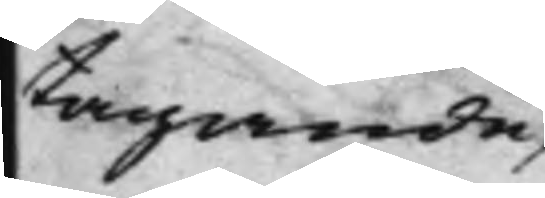tagande
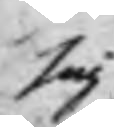sig
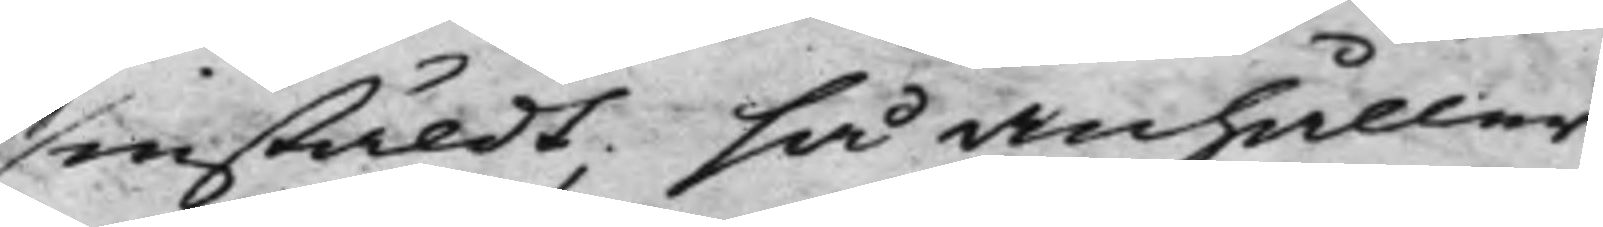instäldt; så anhåller
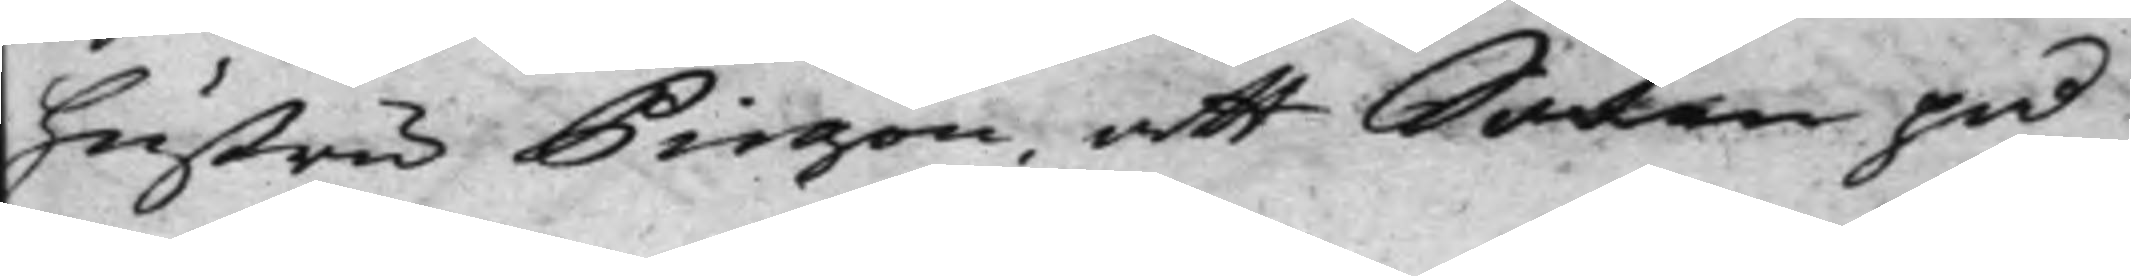hustru Pirgon, att Saken på
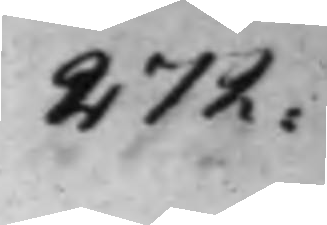272:
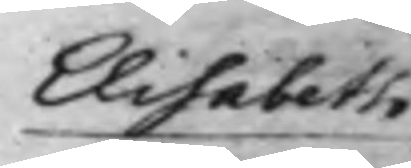Elisabeth
